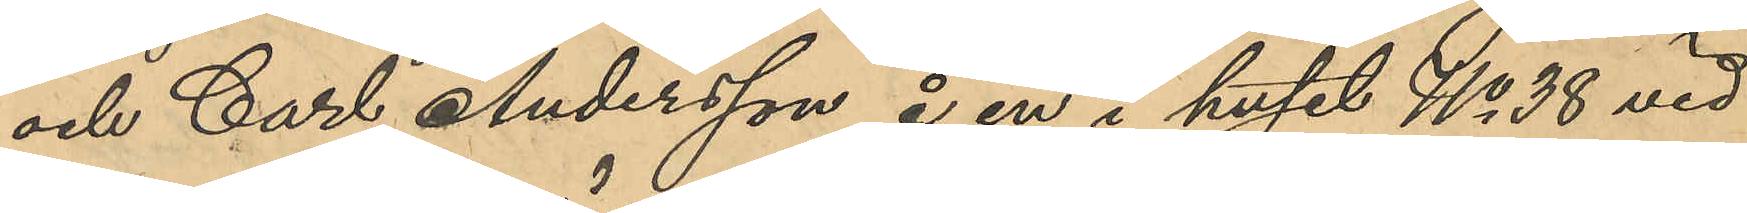och Carl Andersson å en i huset No 38 vid
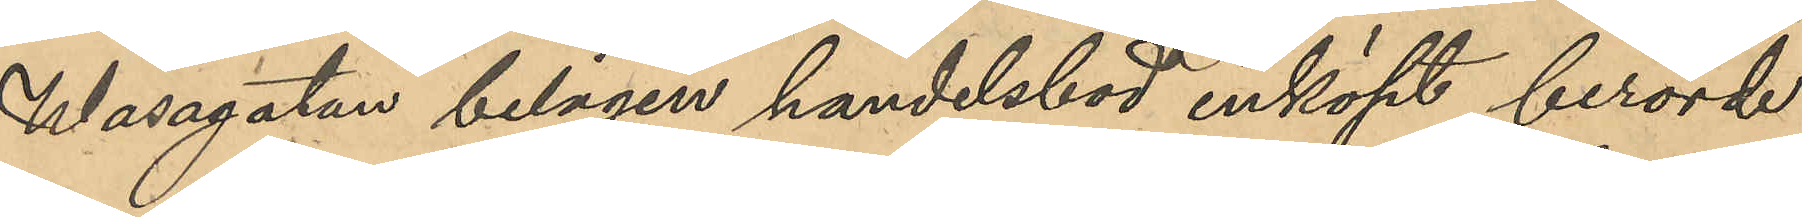Wasagtan belägen handelsbod inköpt berörde
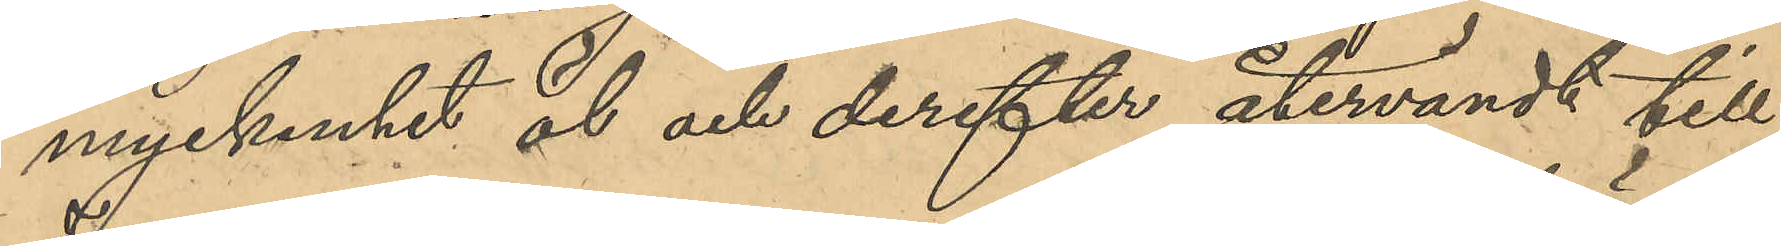myckenhet öl och derefter återvändt till
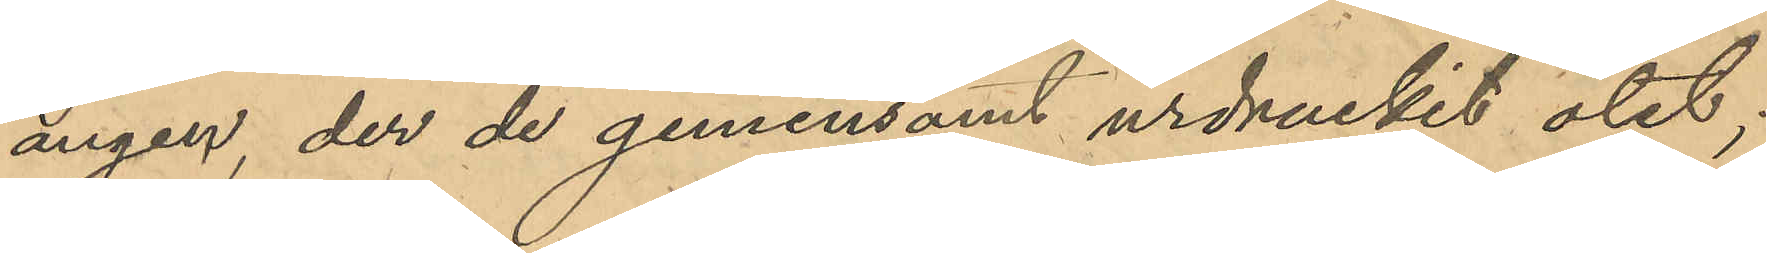ängen, der de gemensamt urdruckit ölet;
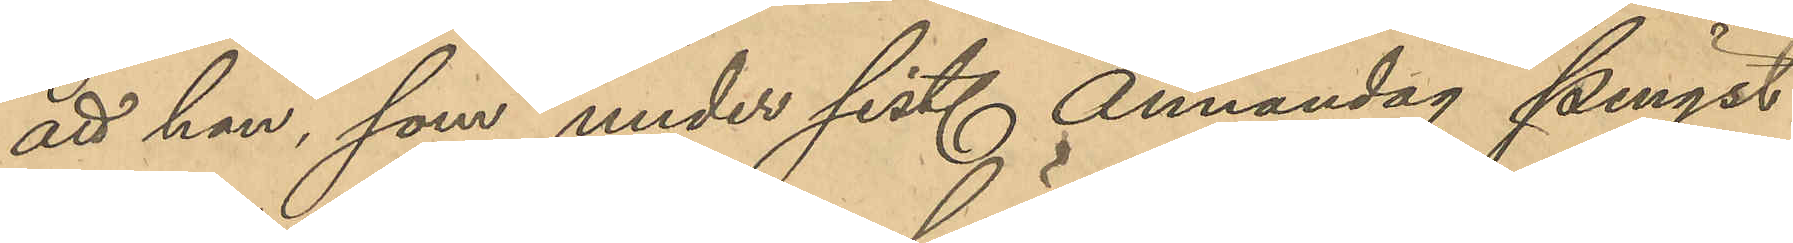att han som under sist. Annandag pingst
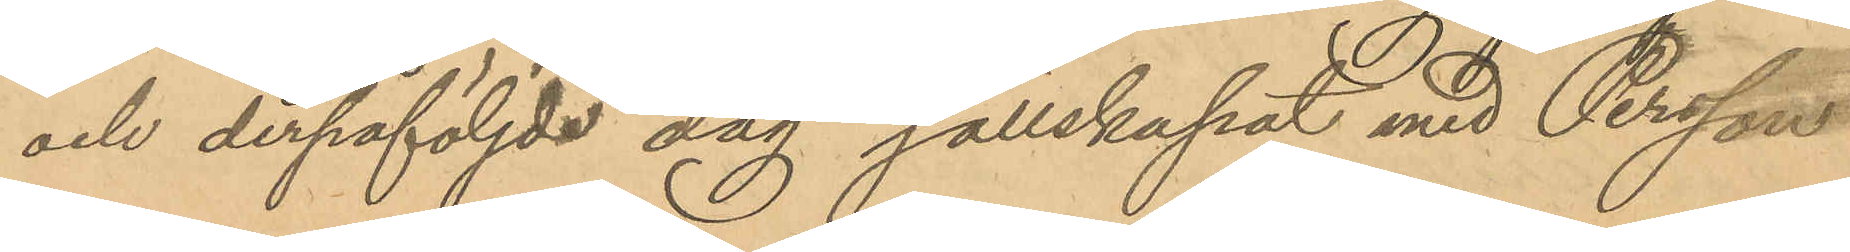och derpåföljde dag sällskapat med Persson
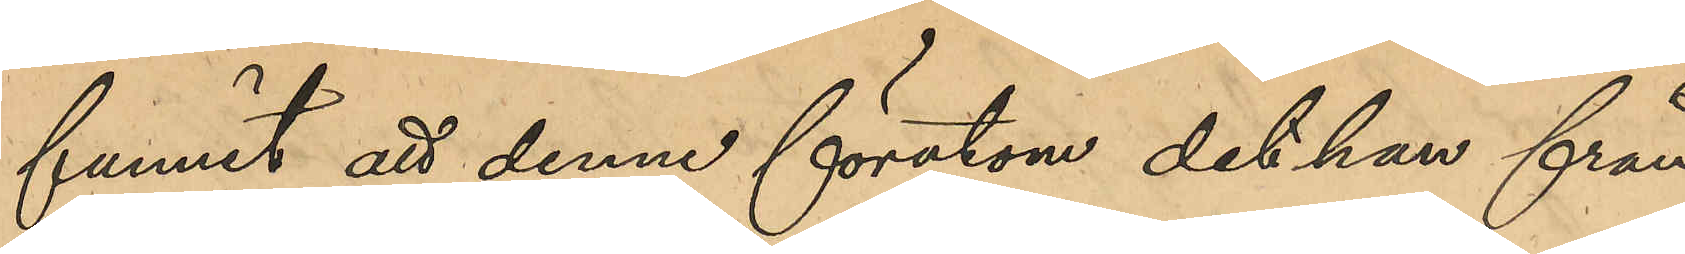funnit att denne förutom det han från
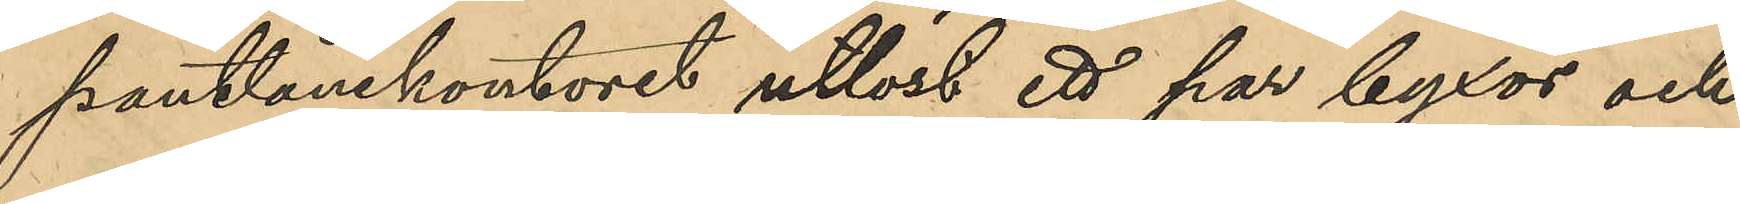pantlånekontoret utlöst ett par byxor och
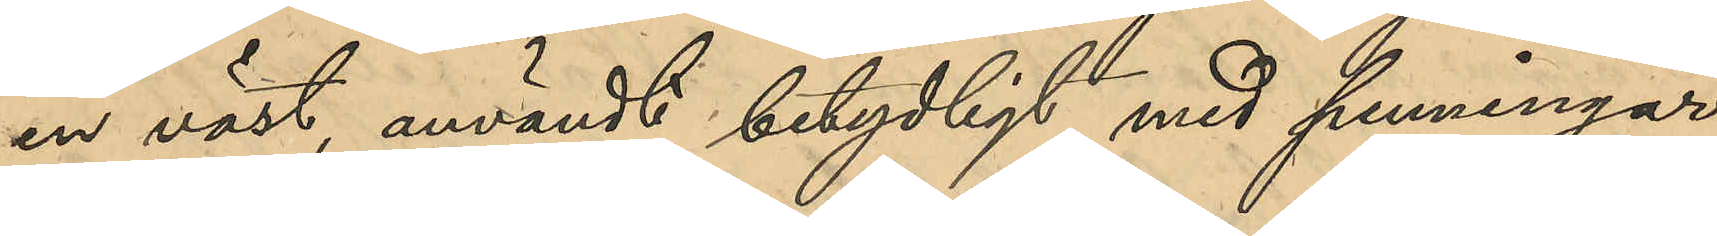en väst, användt betydligt med penningar
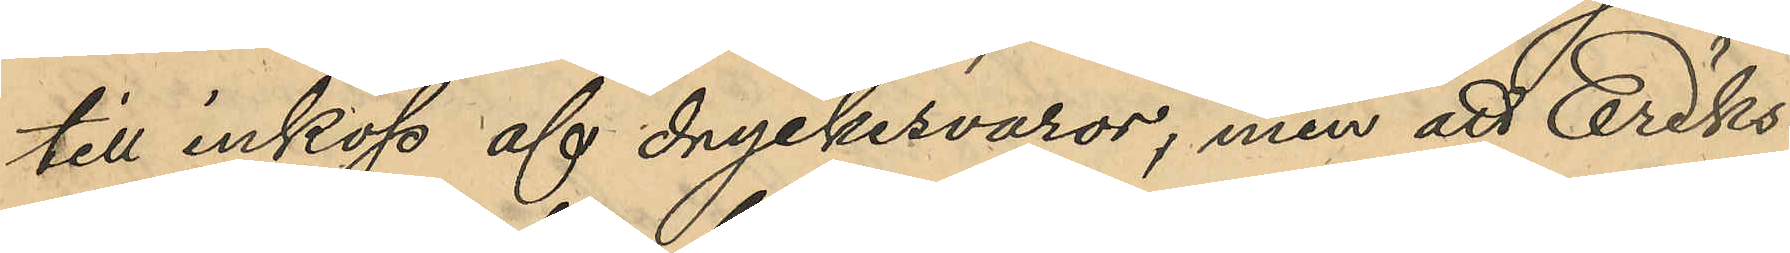till inköp af dryckesvaror, men att Eriks¬
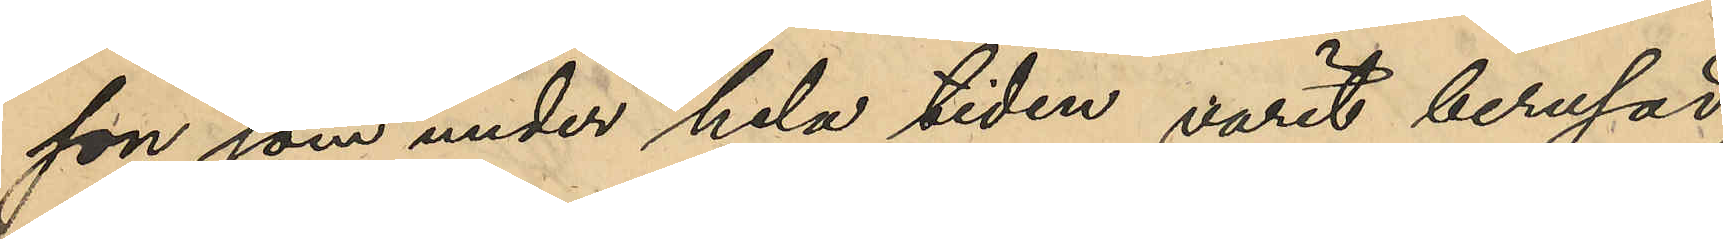son som under hela tiden varit berusad,
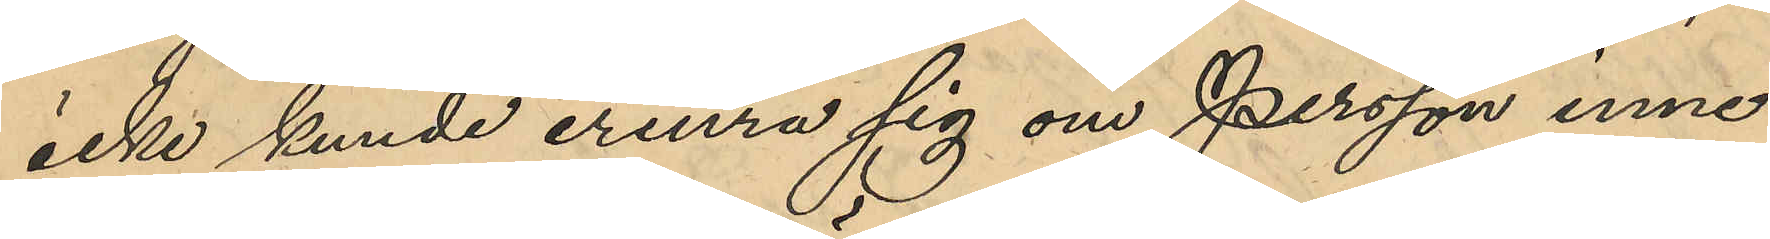icke kunde erinra sig om Persson inne¬
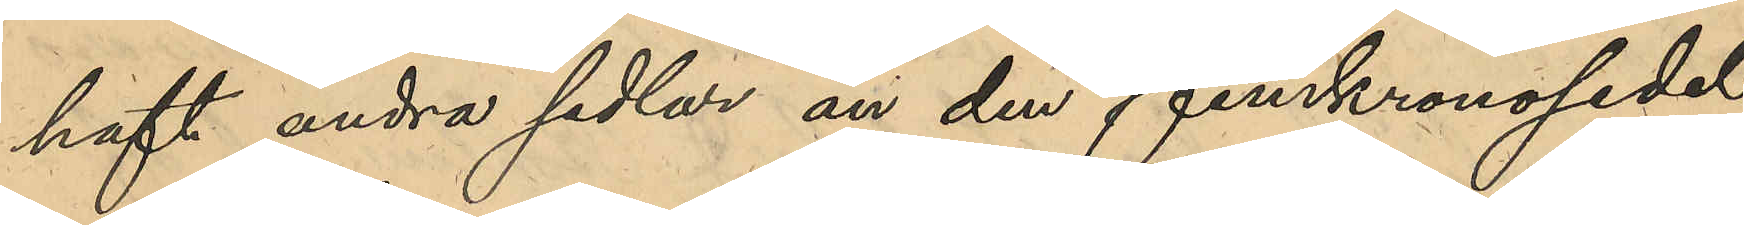haft andra sedlar än den femkronosedel
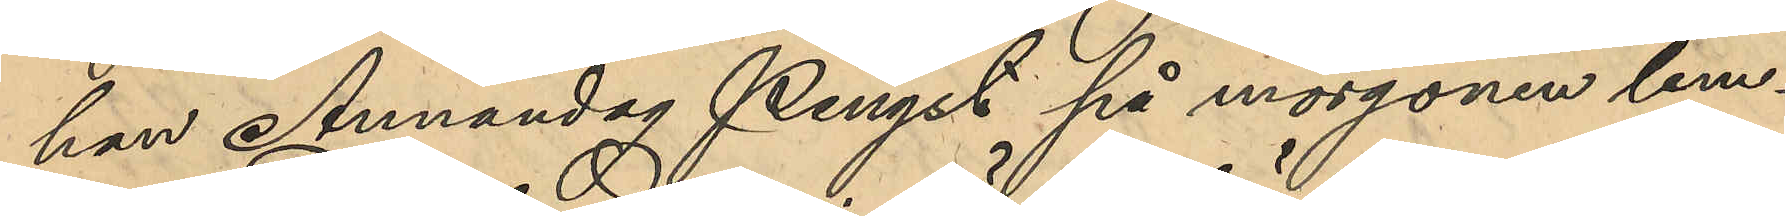han Annandag Pingst på morgonen lem¬
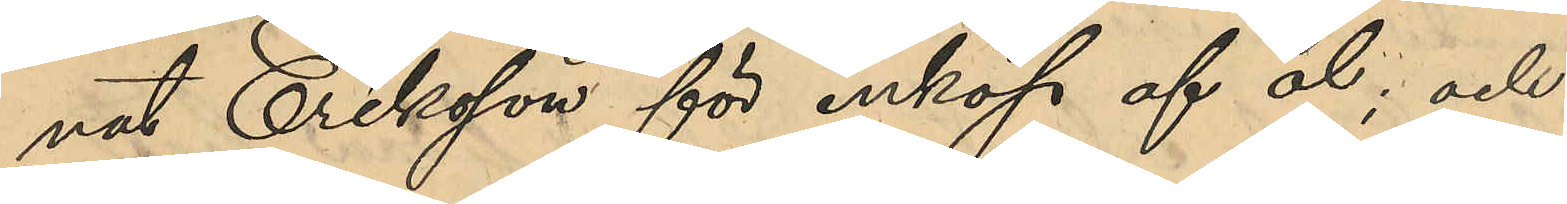nat Eriksson för inköp af öl; och
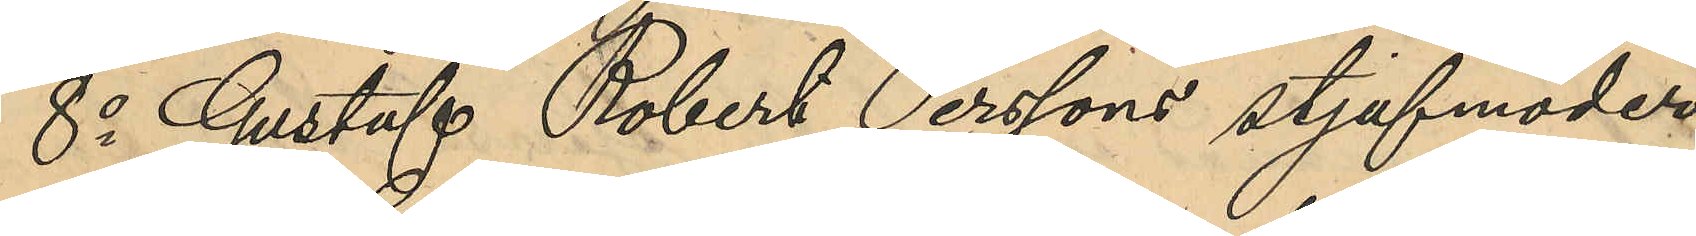8o Gustaf Robert Perssons stjufmoder
